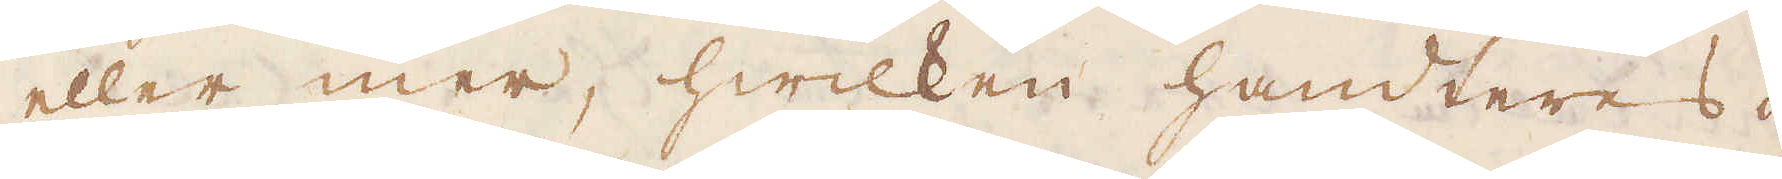eller mer, hwilken handteres i
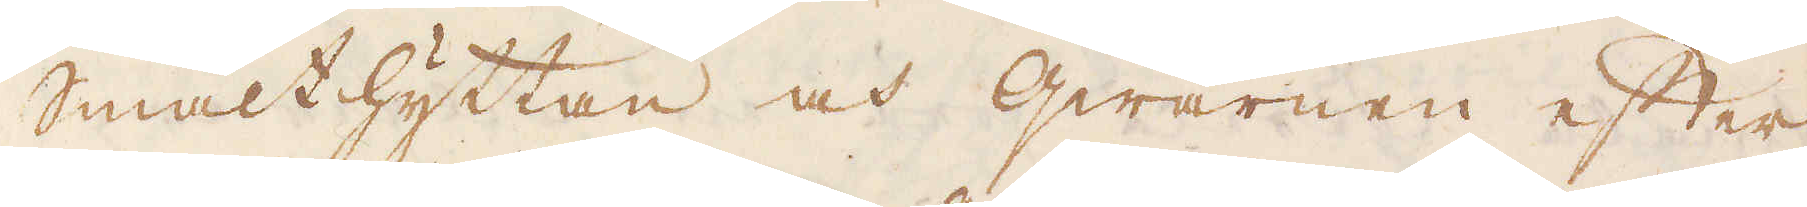smälthyttan och Qwarnen efter
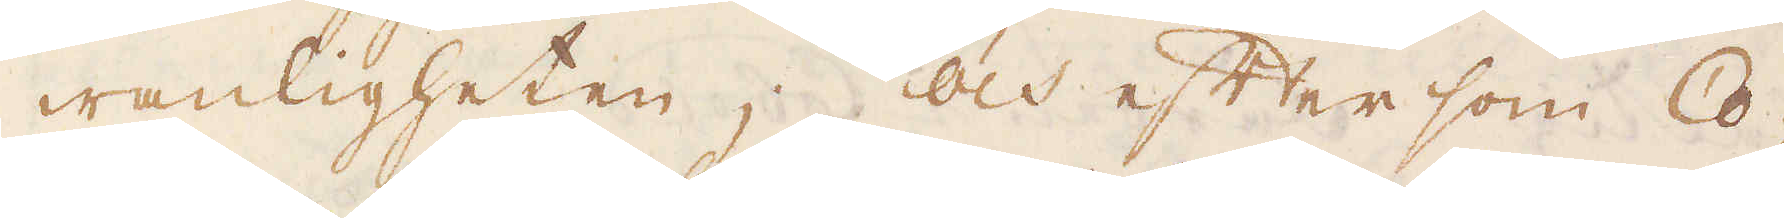wanligheten; Och eftersom Co-
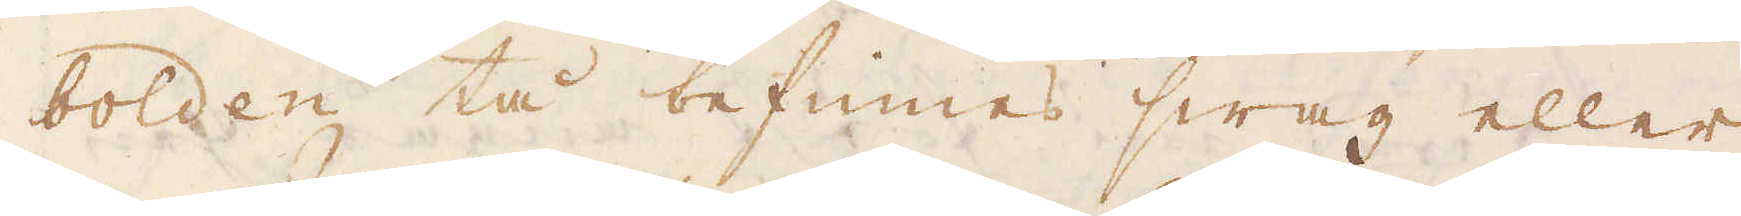bolden tå befinnes swag eller
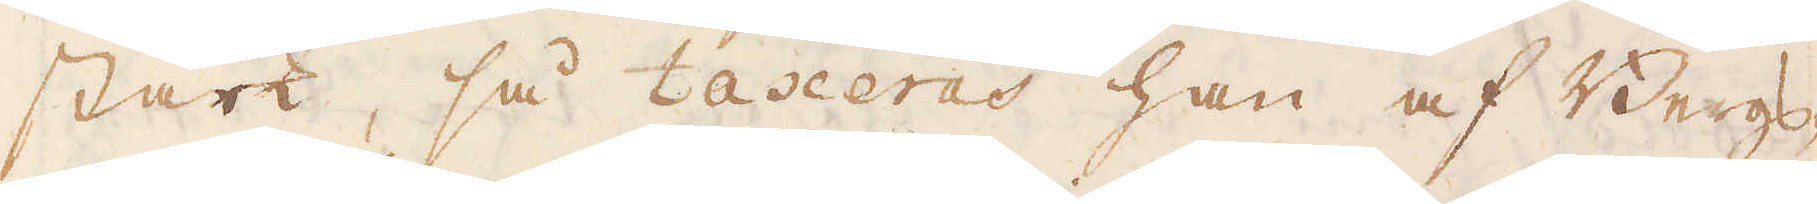stark, så taxeras han af Bergs-
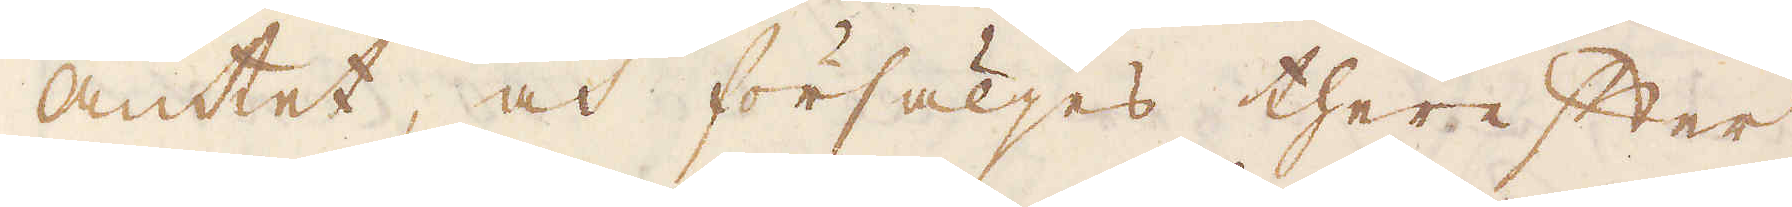amtet, och försäljes therefter
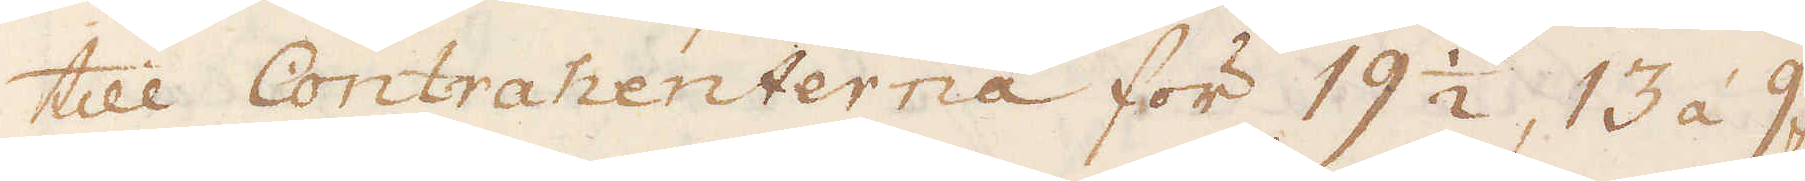till Contrahenterna för 19 1/2, 13 á 9 fl.
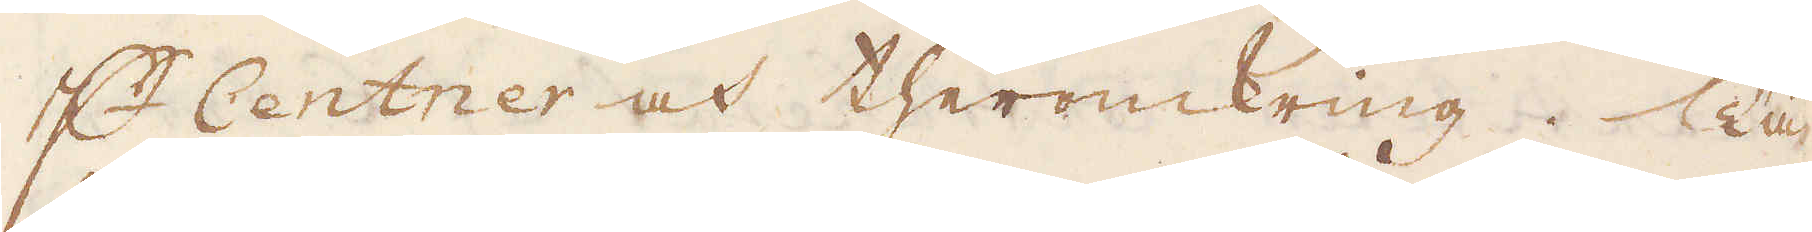p Centner och theromkring. Tå
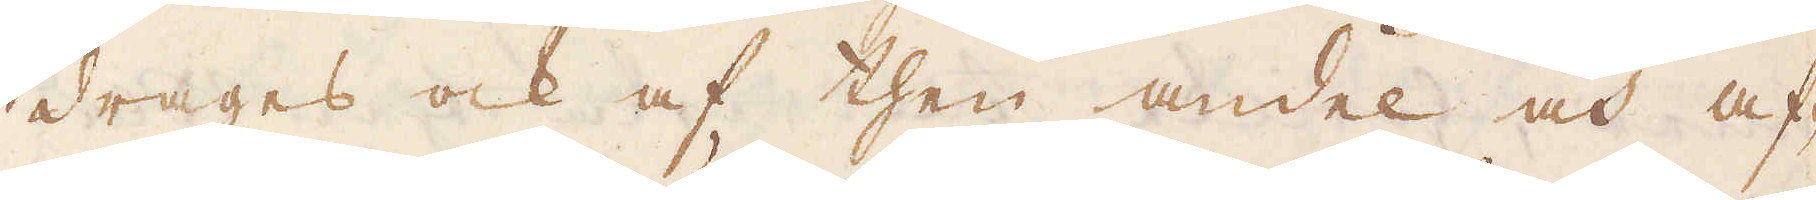drages ock af then andel och af-
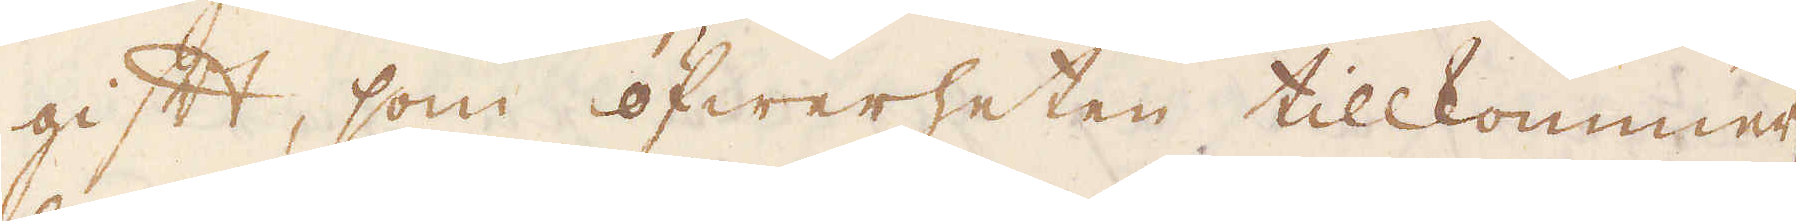gift, som öfwerheten tillkommer,
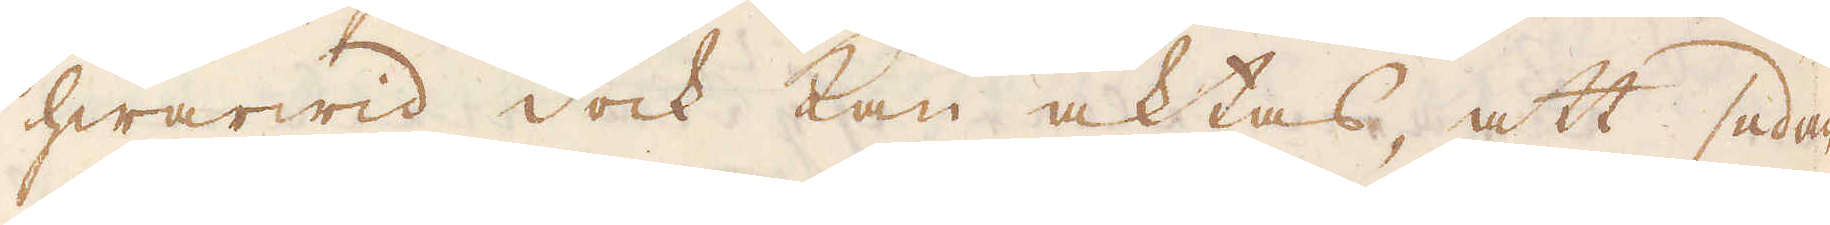hwarwid dock kan aktas, att sedan
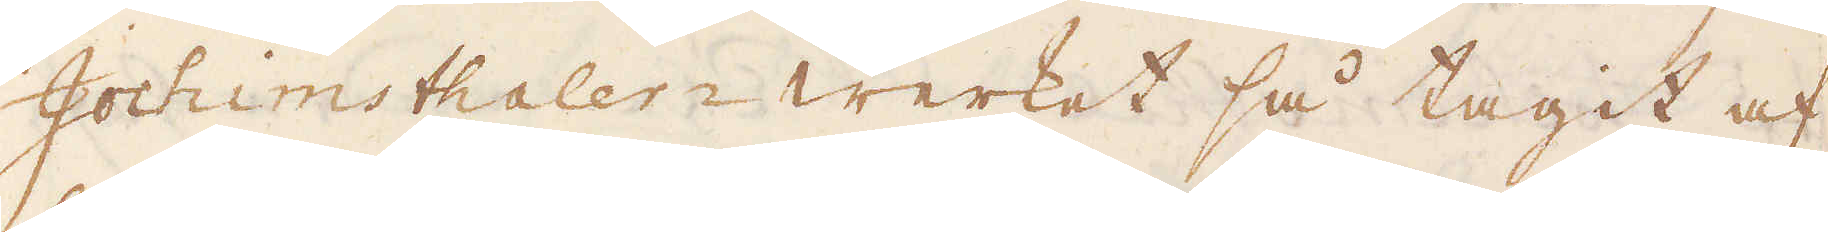Jochimsthaler-werket så tagit af,
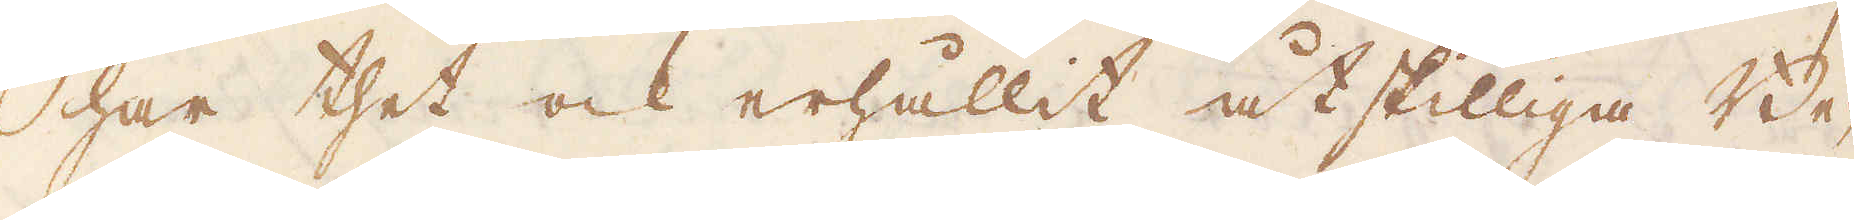har thet ock erhållit åtskilliga Be-
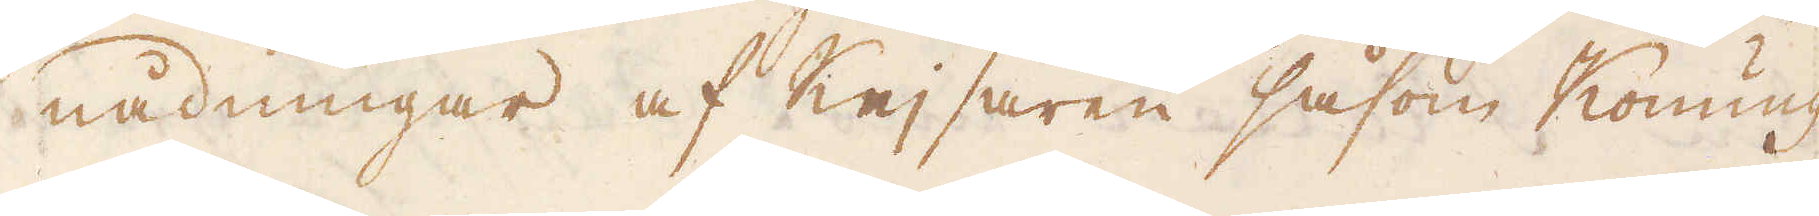nådningar af Kejsaren såsom Konung
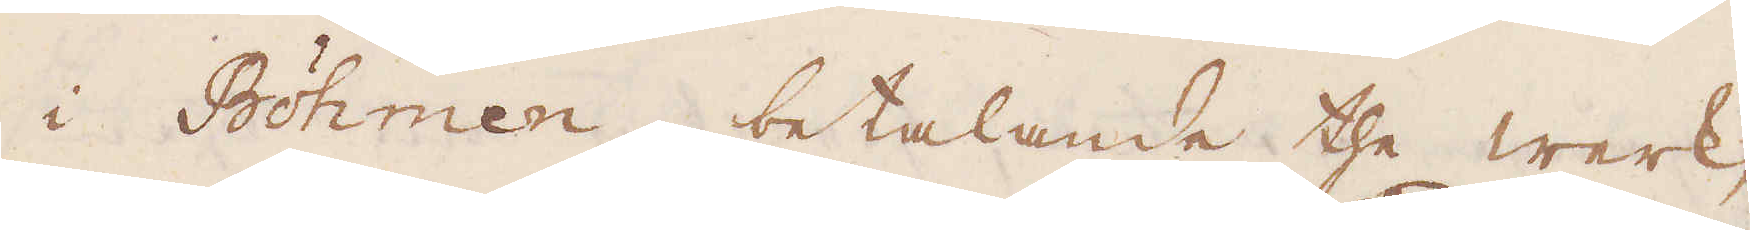i Böhmen, betalande the werk,
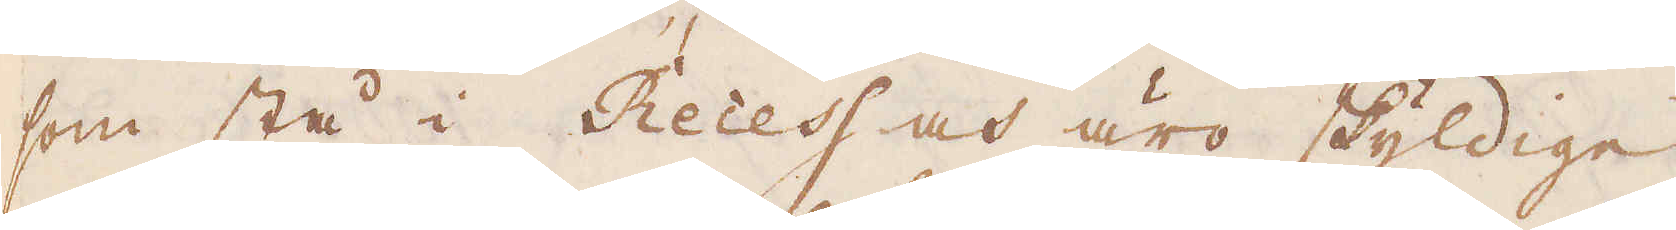som stå i Recess och äro skyldige,
